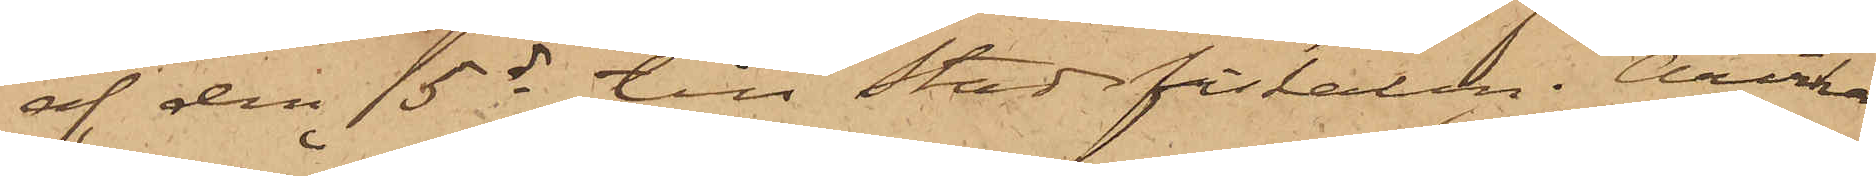af den 15 ds till Stadsfiskalen i Arvika
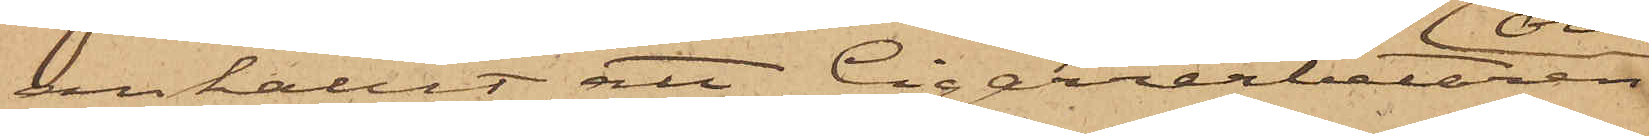anhållit att Cigarrarbetaren
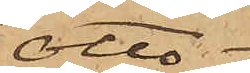Otto
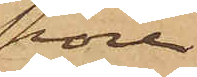Thore¬
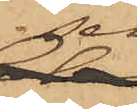sen,
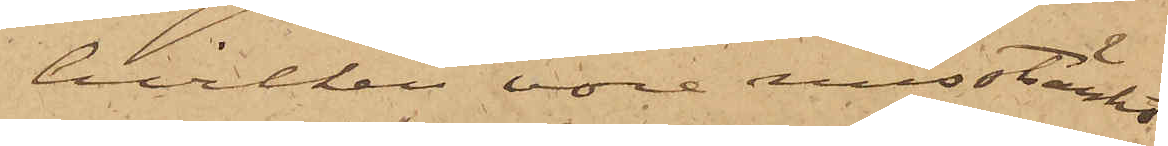hvilken vore misstänkt
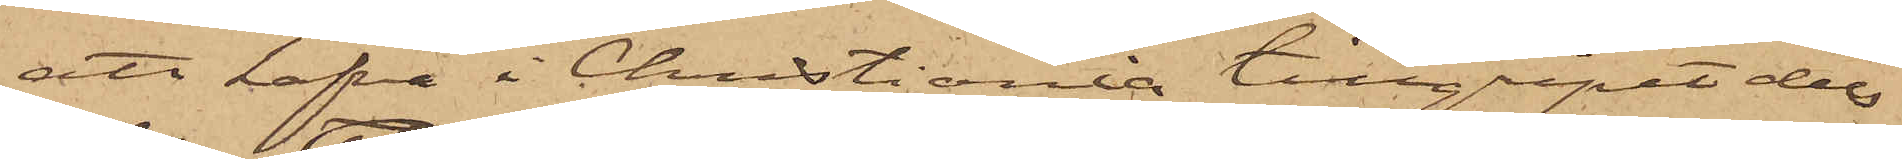att hafva i Christiania tillgripit dels
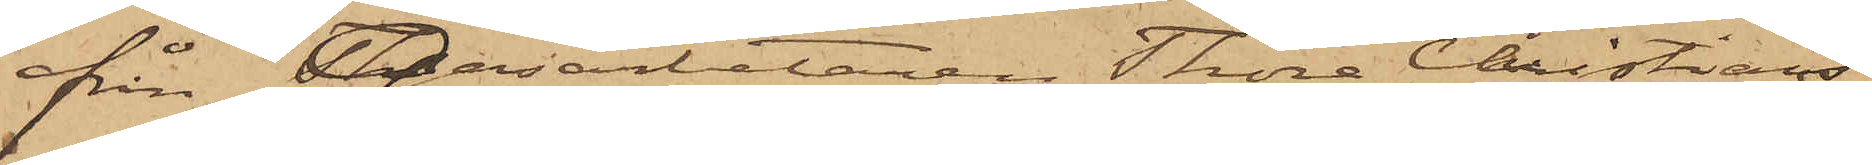från Gasarbetaren Thore Christians¬
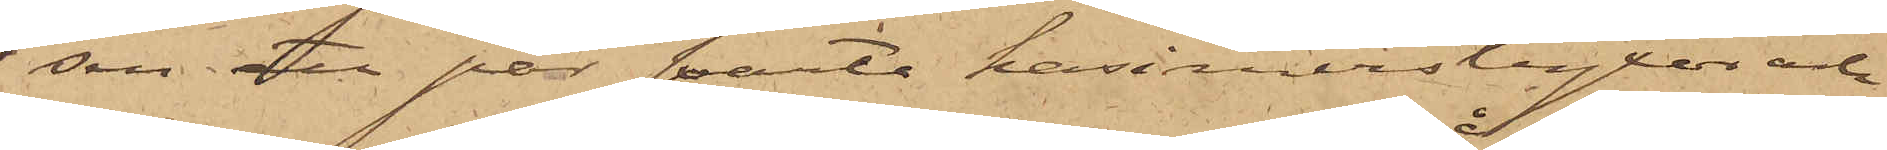sen ett par svarte kasimirsbyxor och
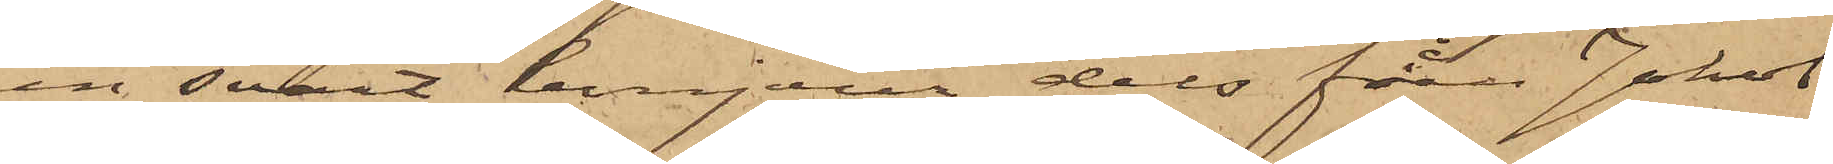en svart bonjour dels från Jakob
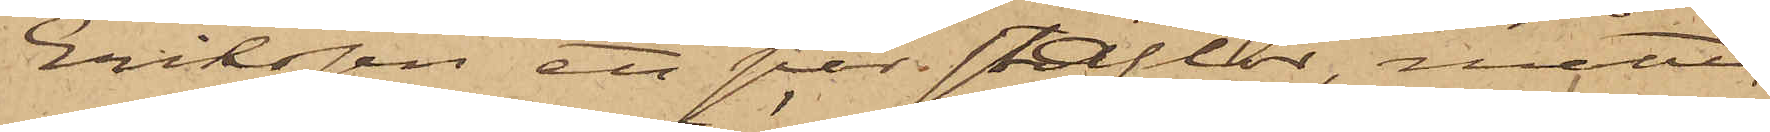Eriksson ett par stöflor, måtte
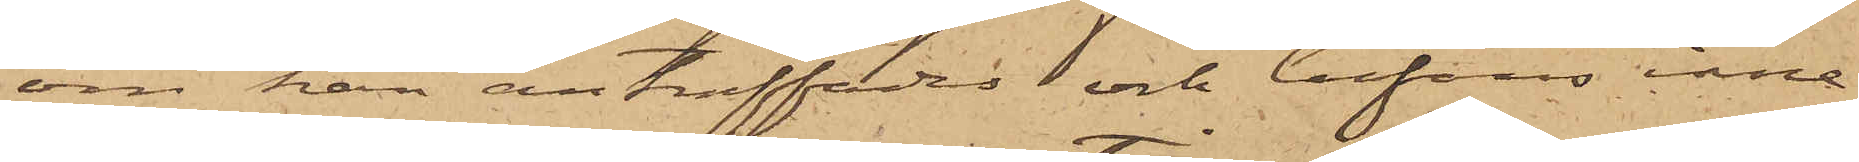om han anträffades och befanns inne¬
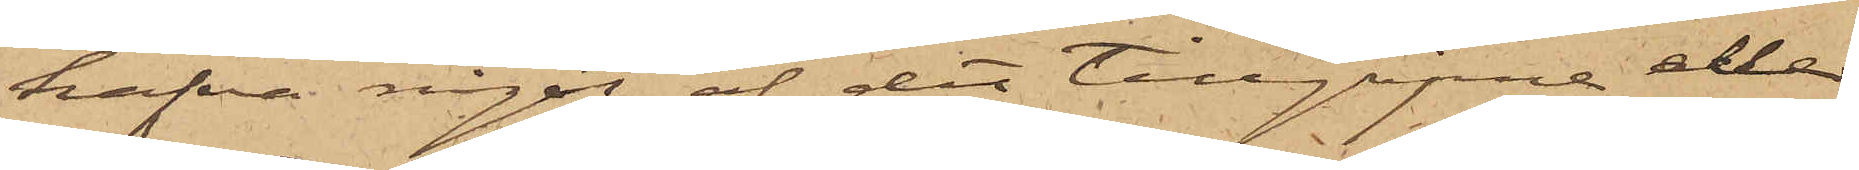hafva något af det tillgripne eller
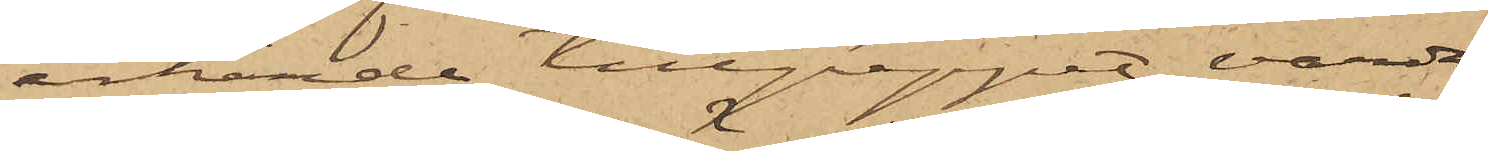erkände tillgreppet, varda
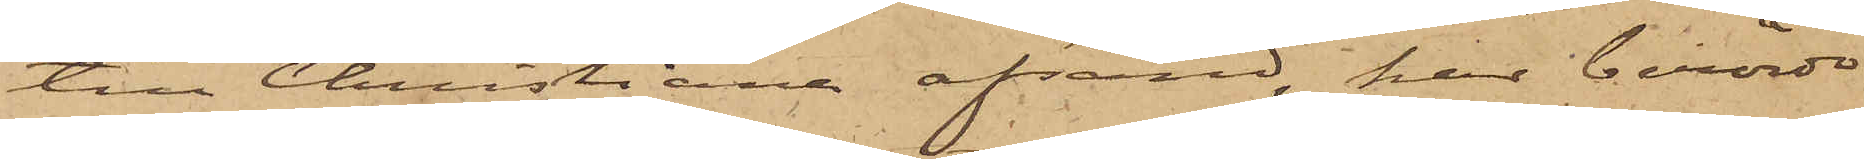till Christiana afsänd, har berörde
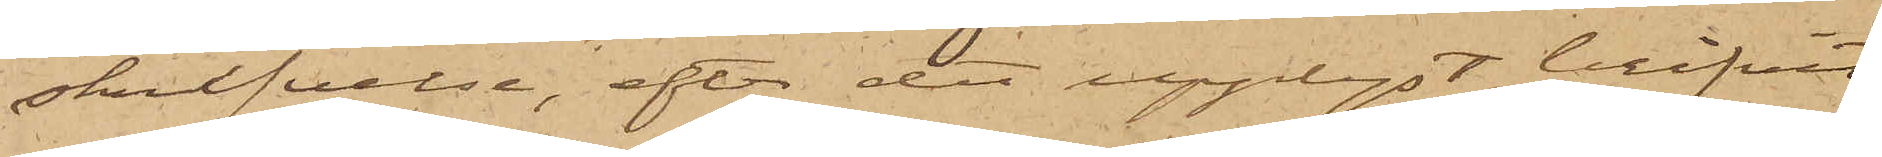skrifvelse, efter det upplyst blifvit
